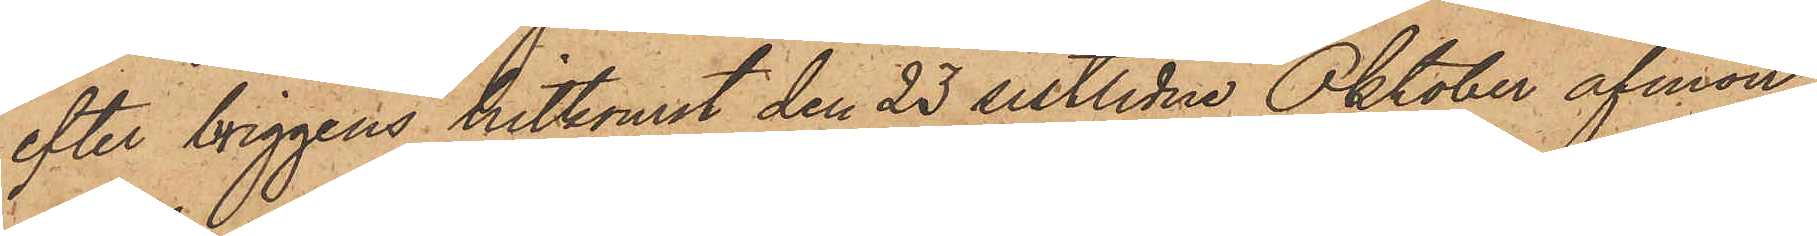efter briggens hitkomst den 23 sistlidne Oktober afmön¬
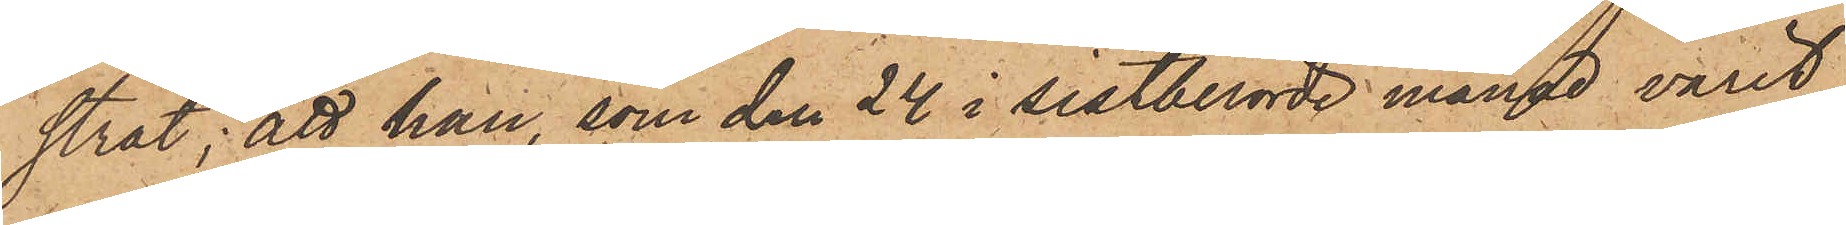strat; att han, som den 24 i sistberörde månad varit
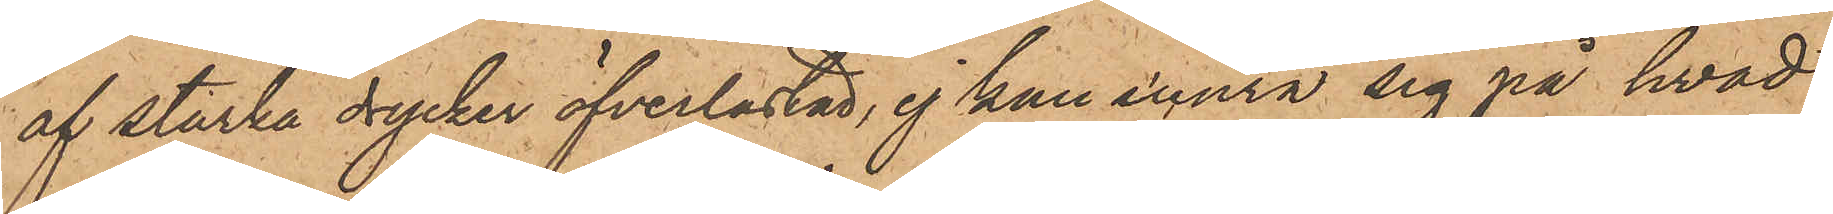af starka drycker öfverlastad, ej kan erinra sig på hvad
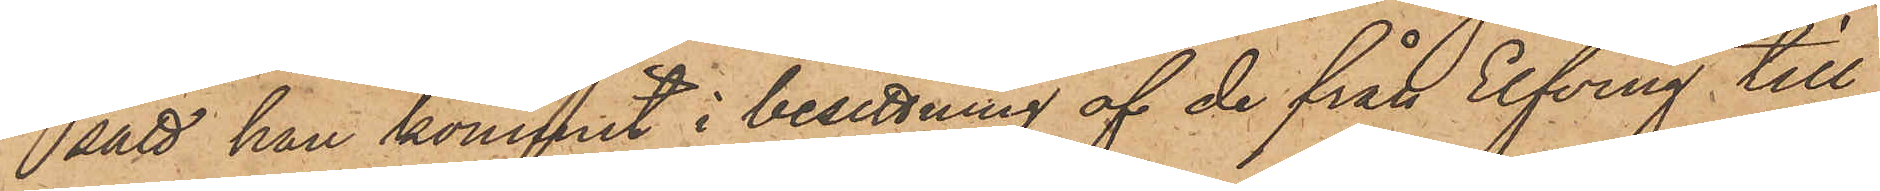sätt han kommit i besittning af de från Elfving till¬
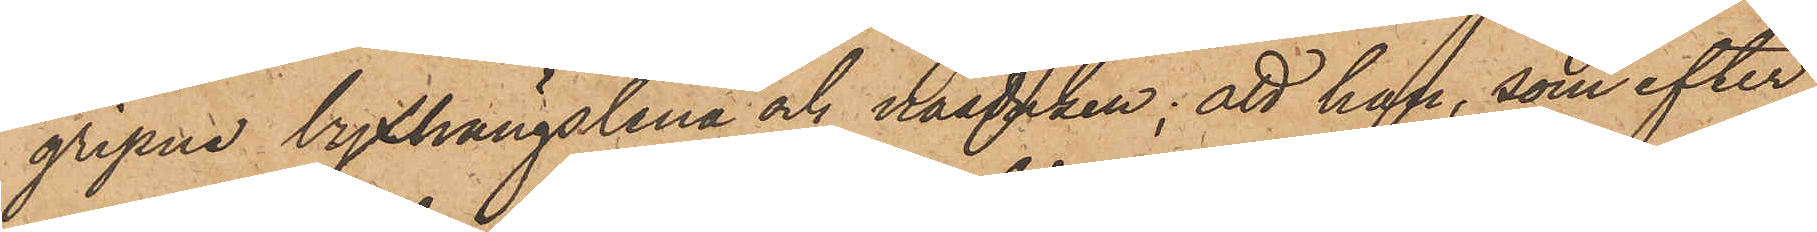gripne byxhängslena och näsduken; att han, som efter
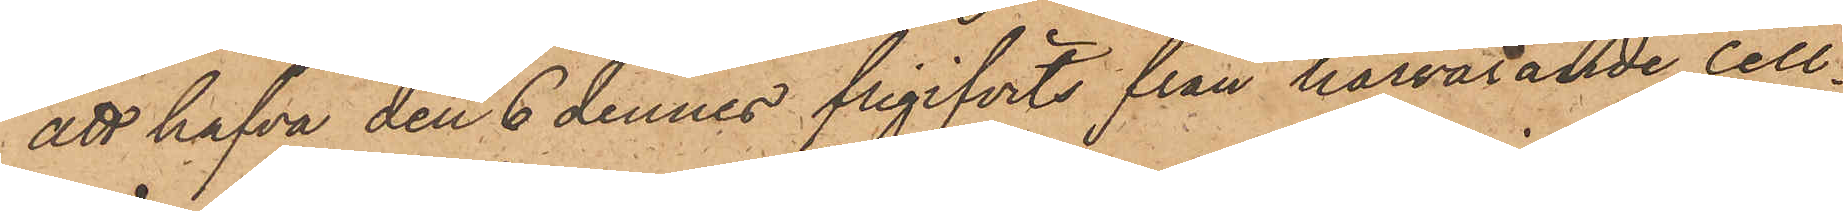att hafva den 6 dennes frigifvits från härvarande cell¬
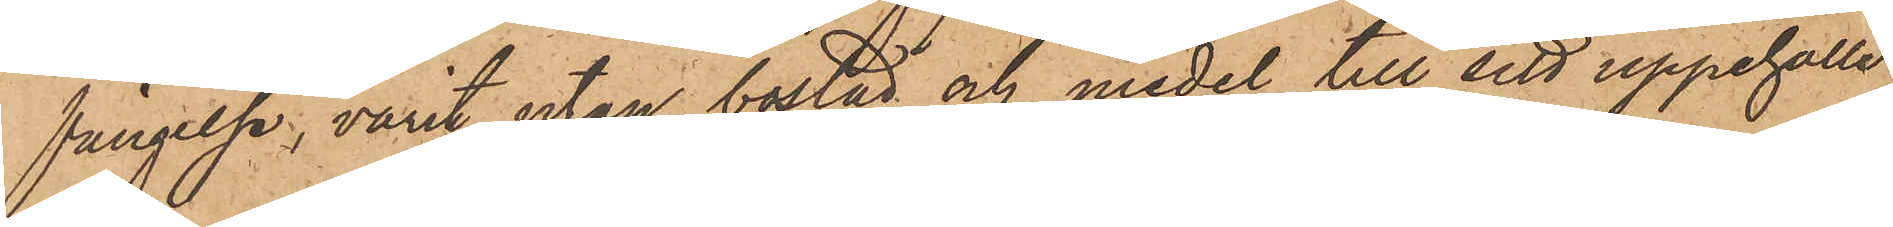fängelse, varit utan bostad och medel till sitt uppehälle,
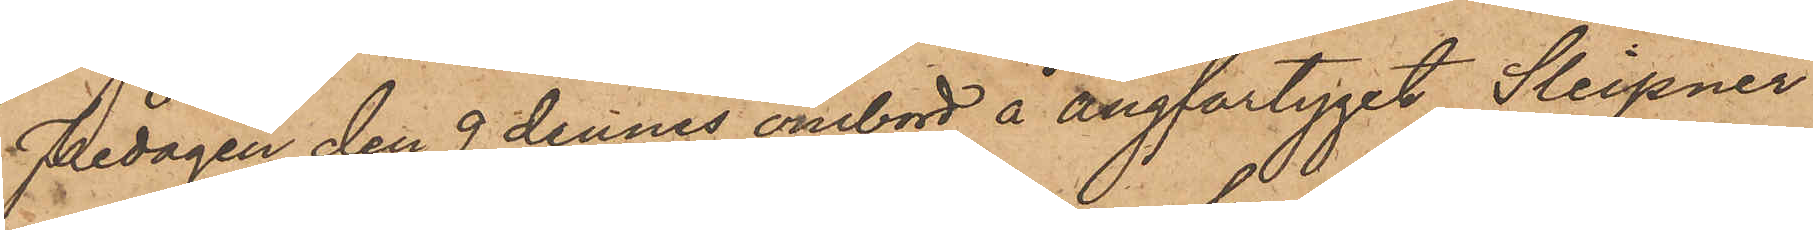Fredagen den 9 dennes ombord å ångfartyget Sleipner
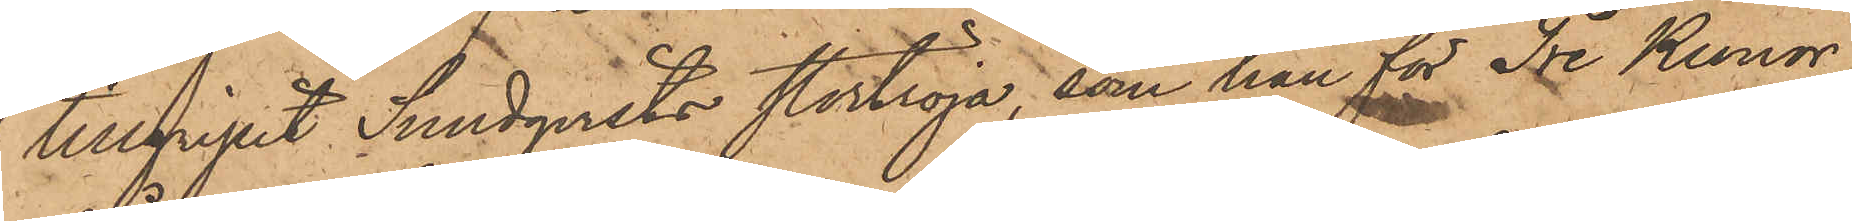tillgripit Sundqvists stortröja, som han för Tre Kronor
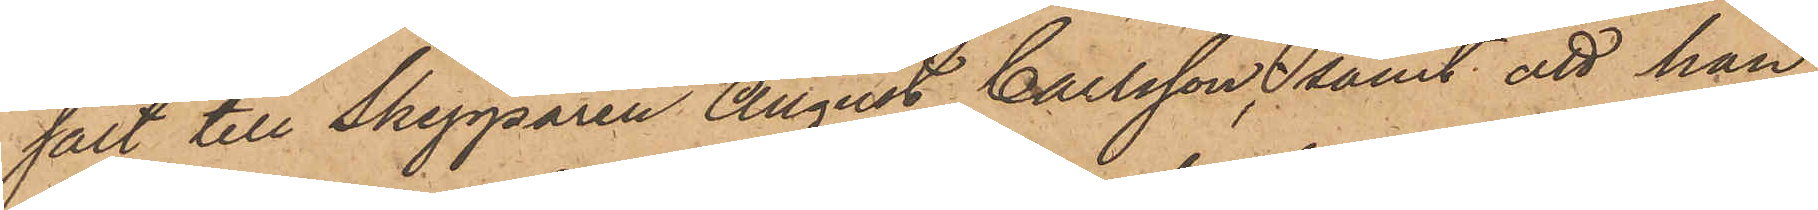sålt till Skepparen August Carlsson, samt att han,
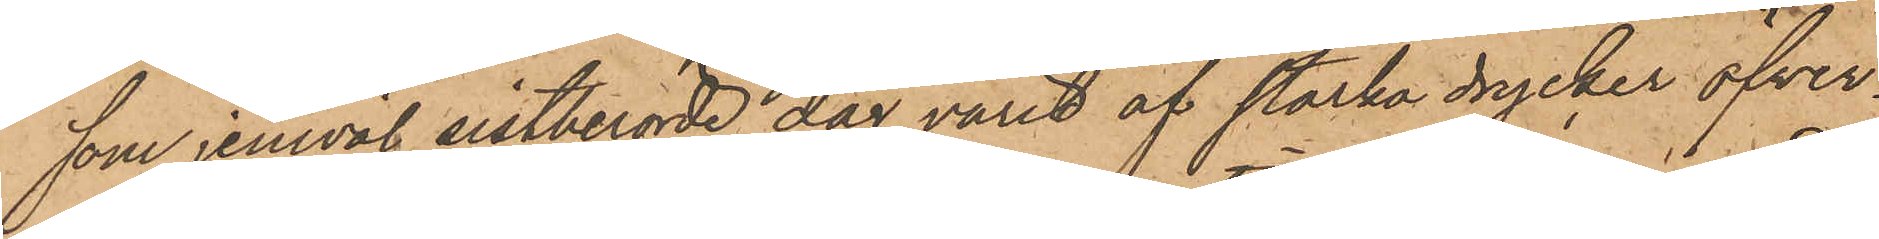som jemväl sistberörde dag varit af starka drycker öfver¬
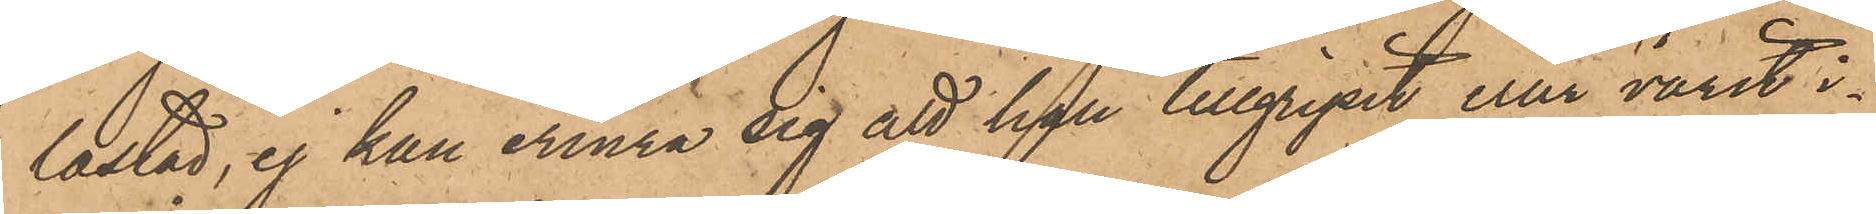lastad, ej kan erinra sig att han tillgripit eller varit i¬
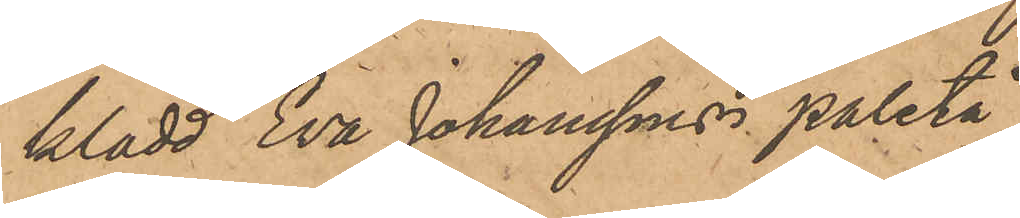klädd Eva Johanssons paletå
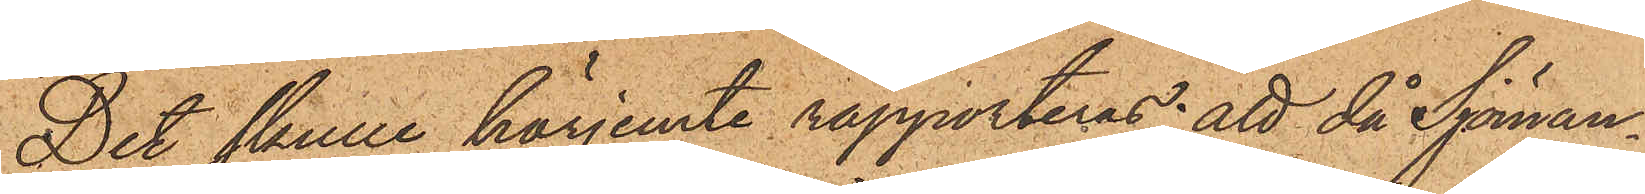Det skulle härjemte rapporteras; att då Sjöman¬
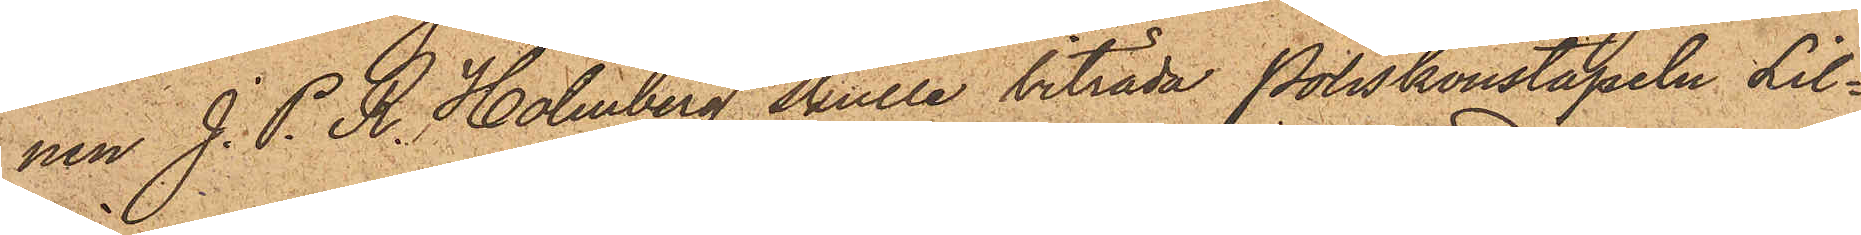nen J. P. R. Holmberg skulle biträda Poliskonstapeln Lil¬
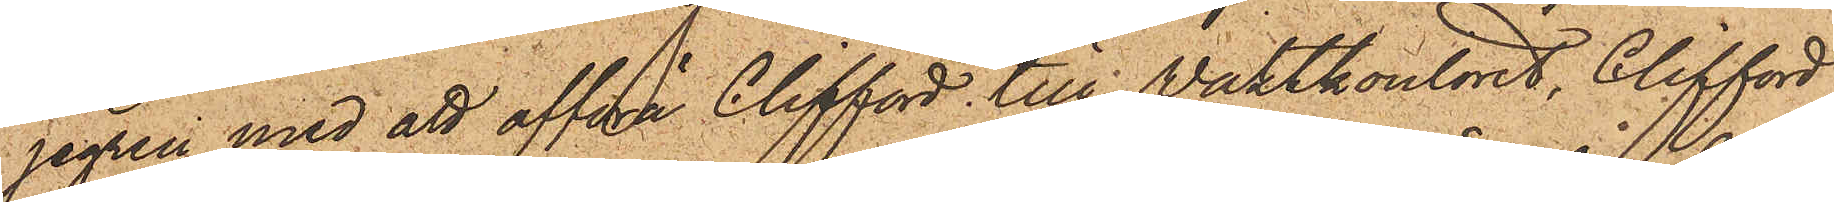jegren med att afföra Clifford till Waktkontoret, Clifford
